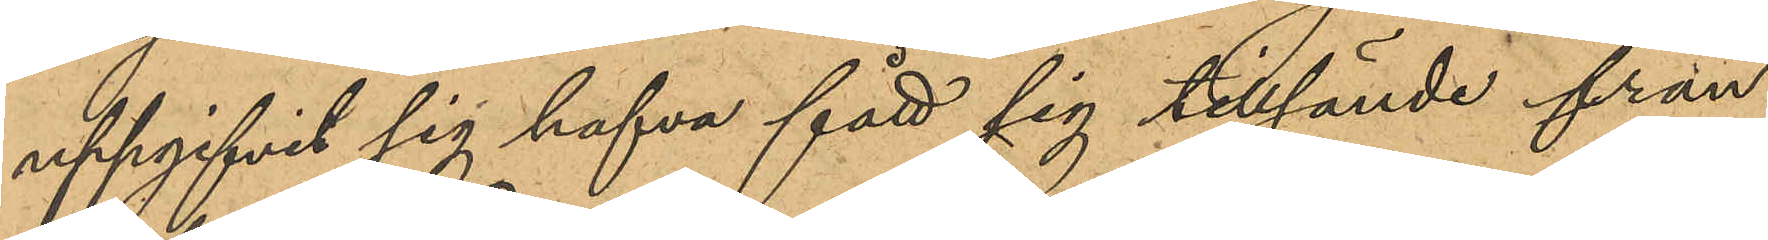uppgifvit sig hafva fått sig tillsände från
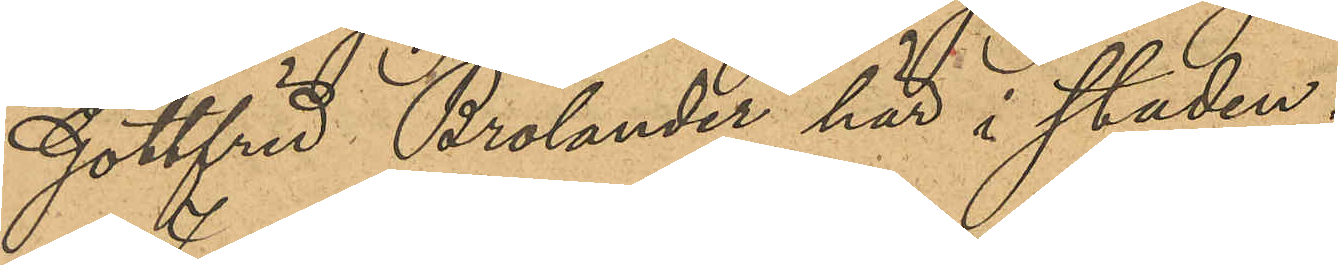Gottfrid Brolander här i staden.
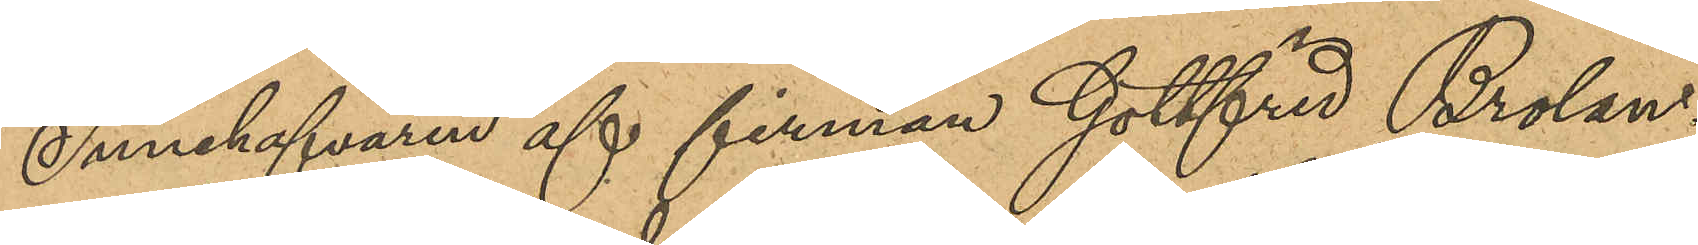Innehafvaren af firman Gottfrid Brolan¬
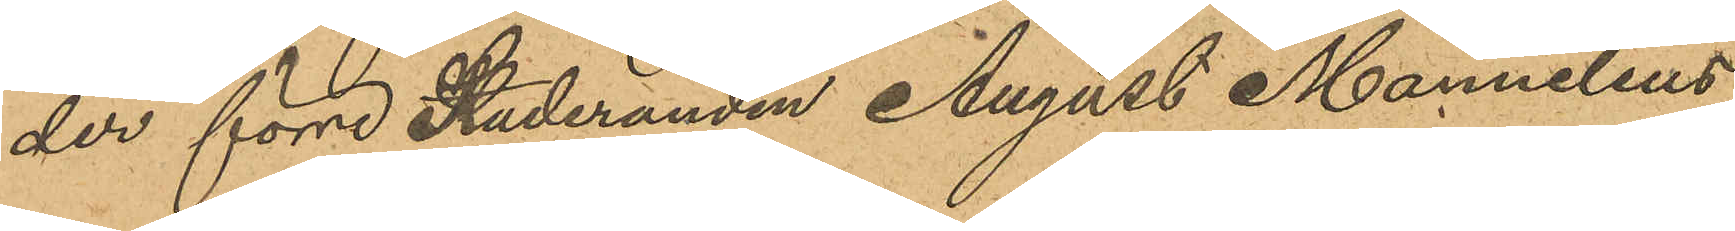der förre Studeranden August Mannelius
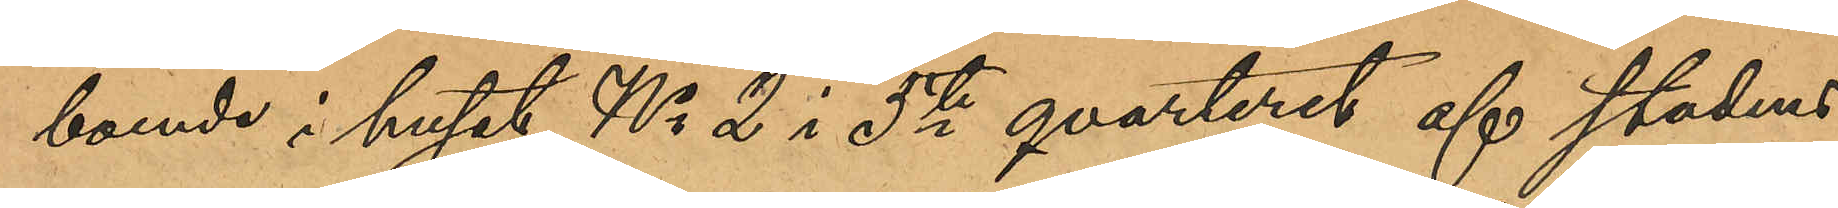boende i huset No 2 i 5te qvarteret af staden
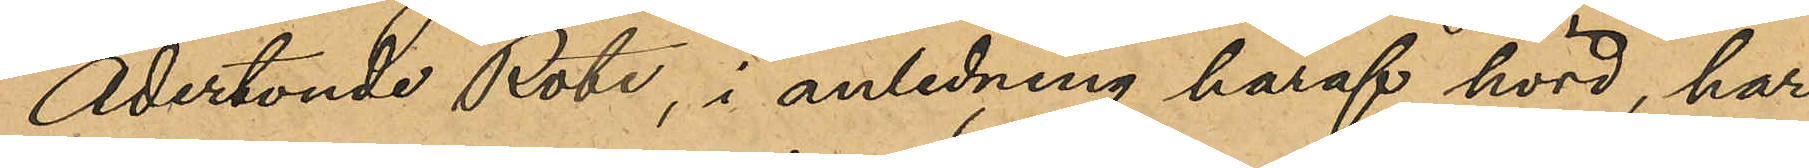Adertonde Rote, i anledning häraf hörd, har
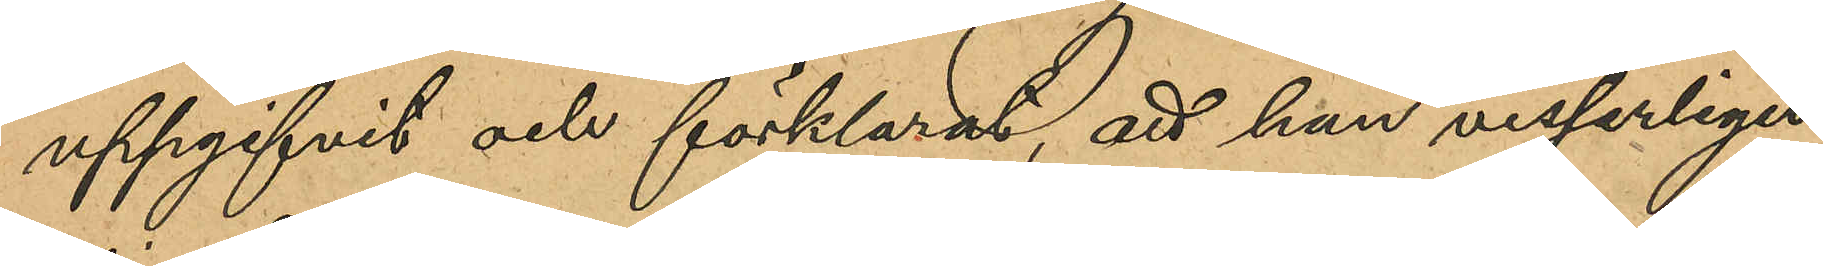uppgifvit och förklarat, att han visserligen
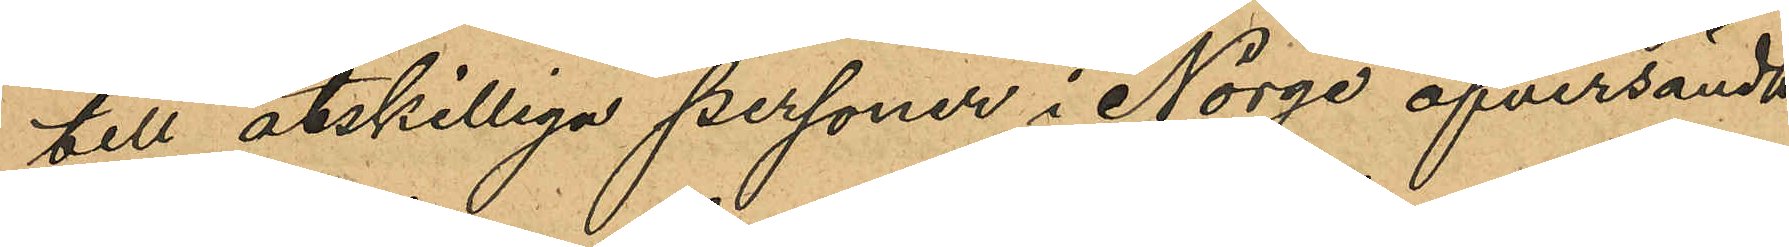till åtskilliga personer i Norge öfversändt
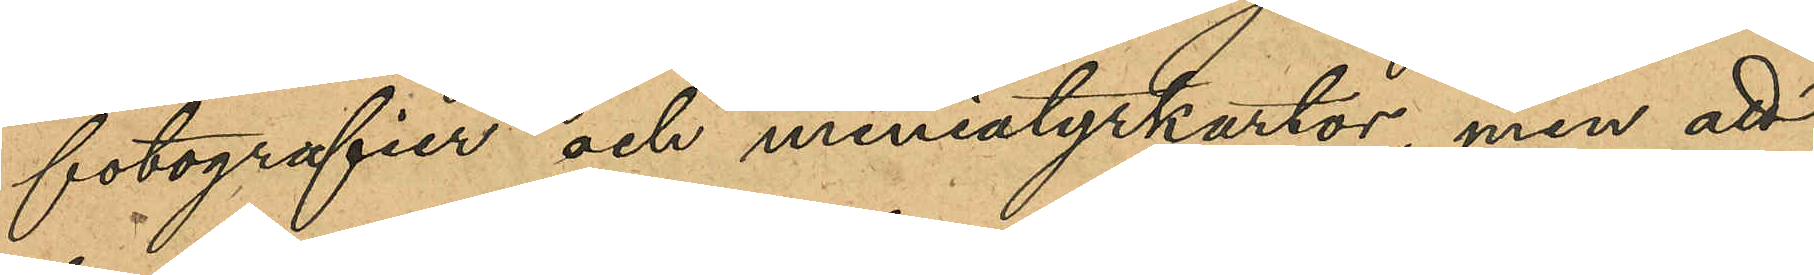fotografier och miniatyrkartor, men att
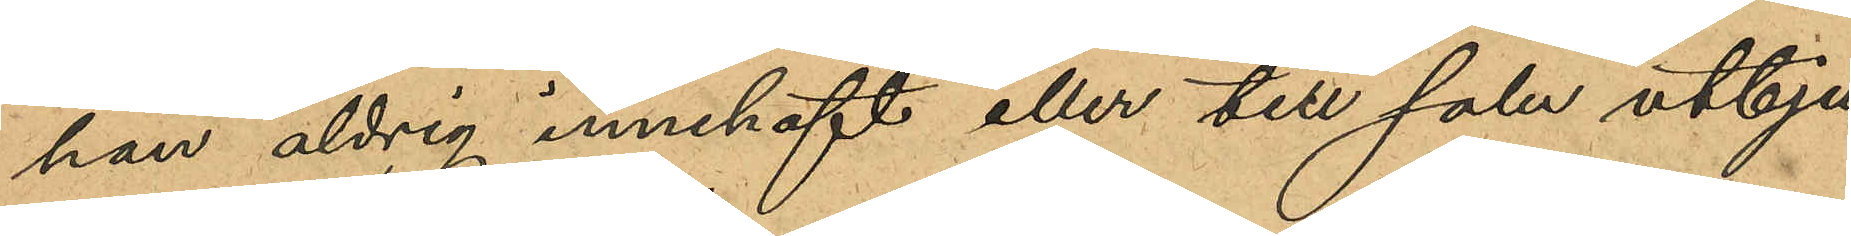han aldrig innehaft eller till salu utbju¬
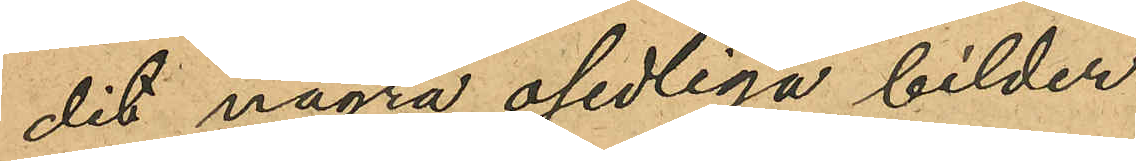dit några osedliga bilder.
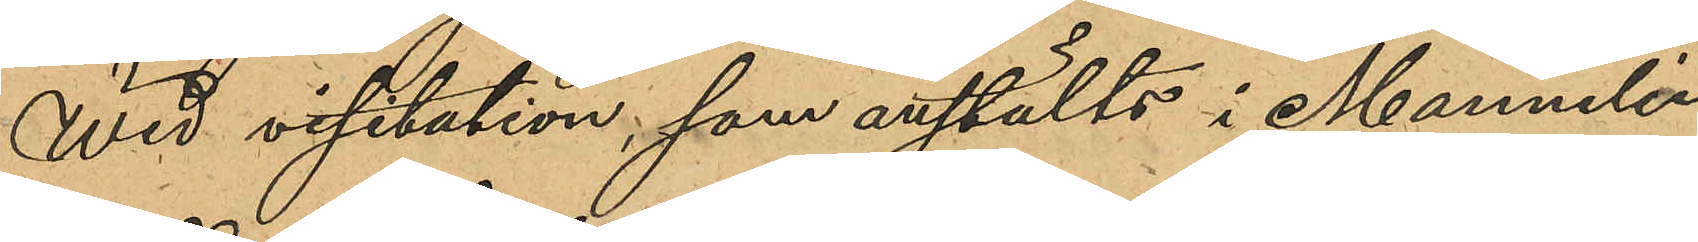Wid visitation som anstälts i Mannelius
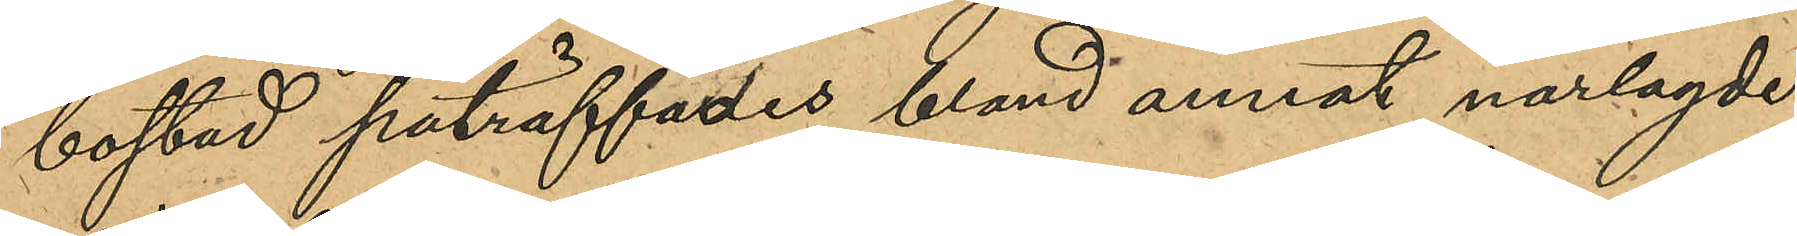bostad påträffades bland annat närlagde
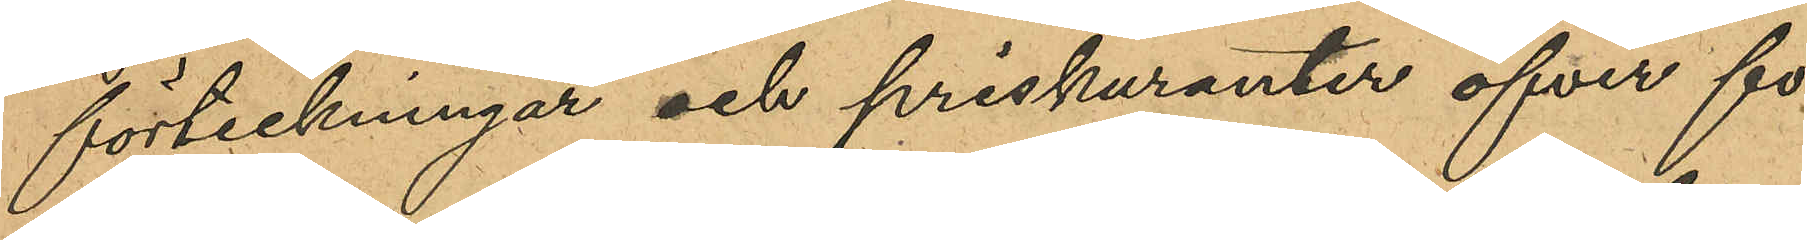förteckningar och priskuranter öfver fo¬
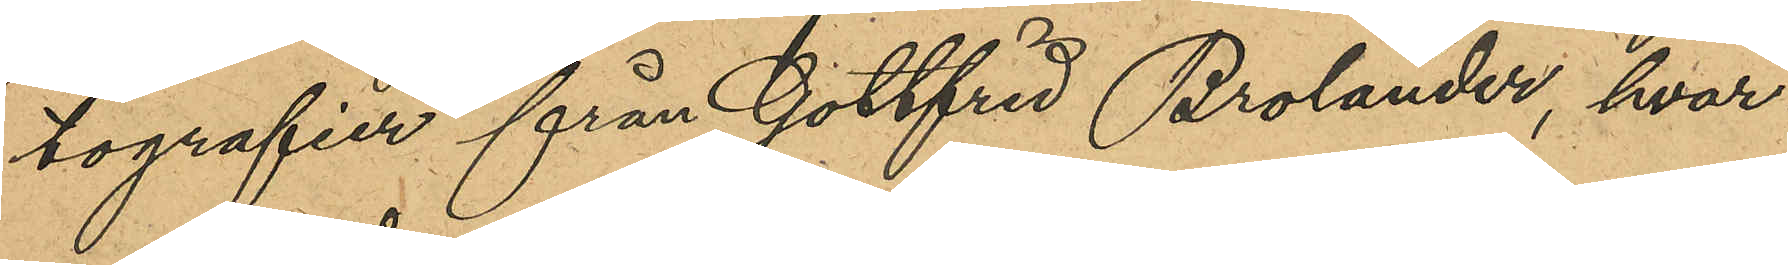tografier från Gottfrid Brolander, hvar¬
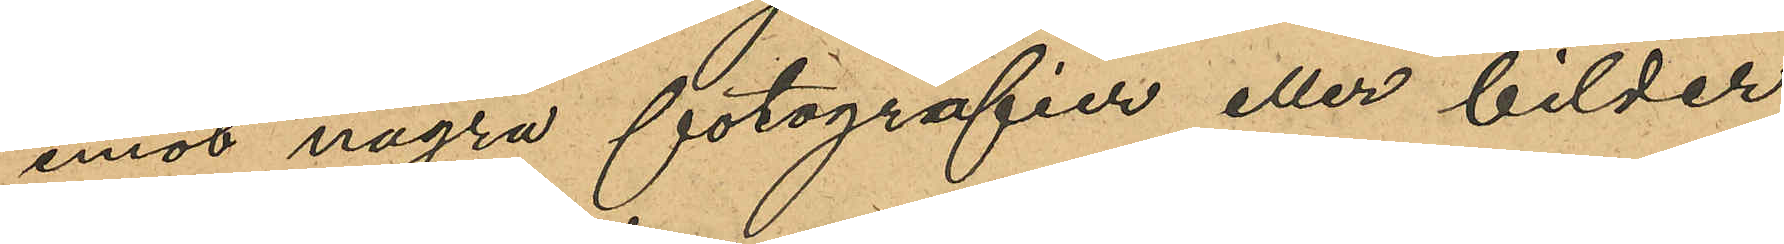emot några fotografier eller bilder
